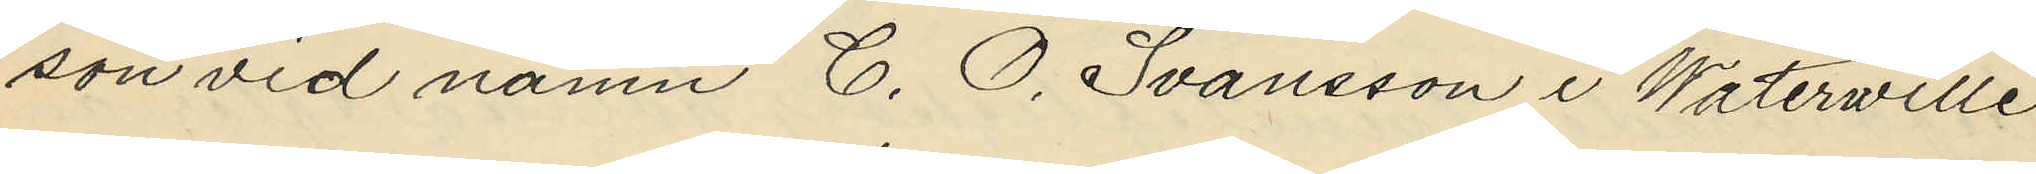son vid namn C. O. Svansson i Waterwille
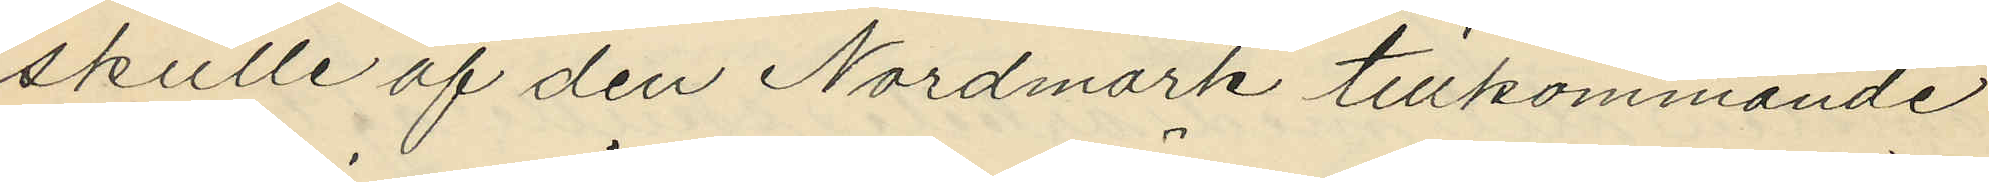skulle af den Nordmark tillkommande
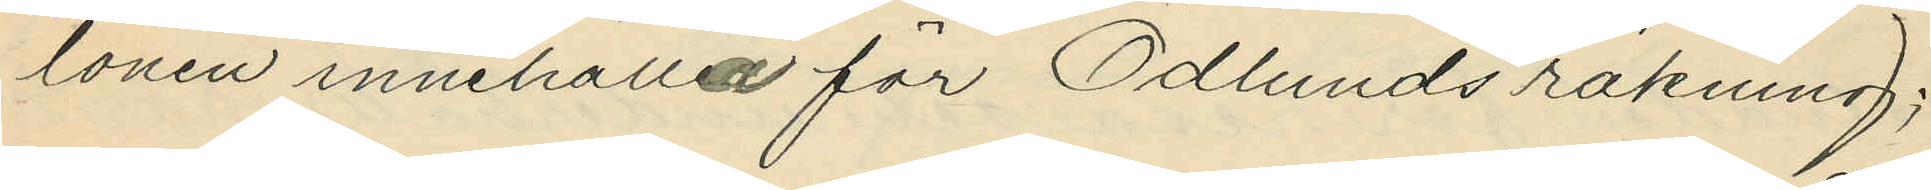lönen innehålla för Ödlunds räkning;
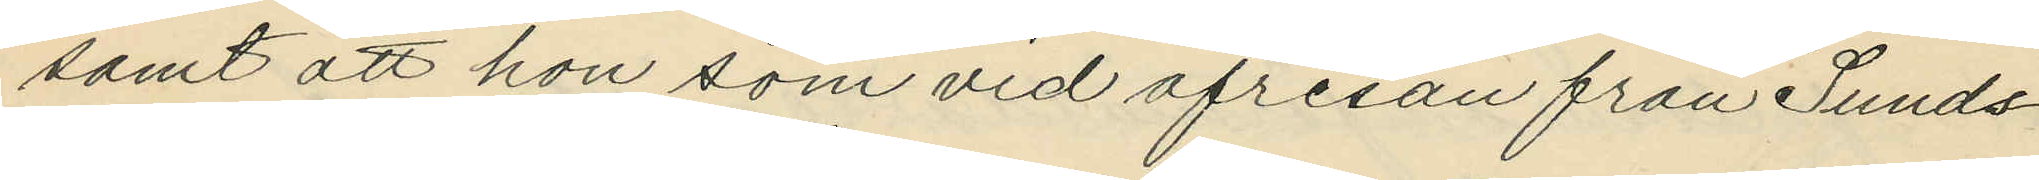samt att hon som vid afresan från Sunds¬
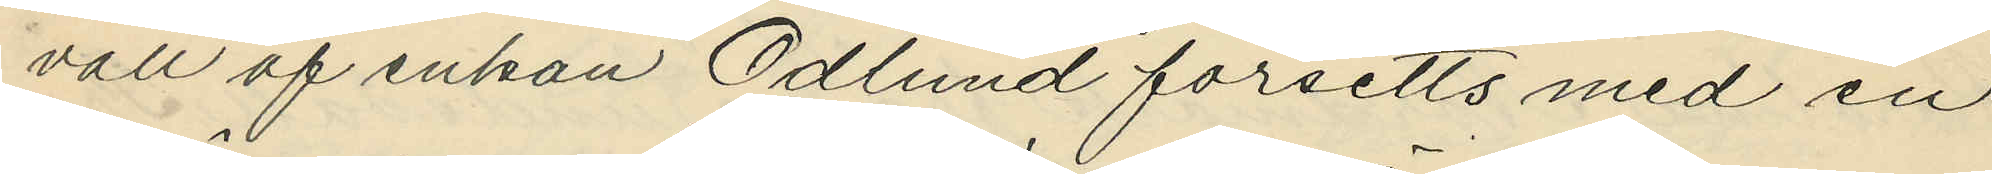vall af enkan Ödlund försetts med en
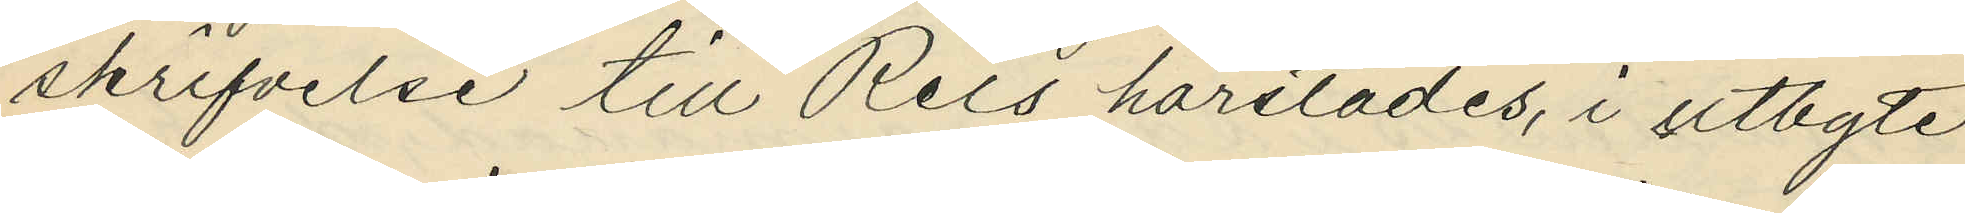skrifvelse till Reis härstädes, i utbyte
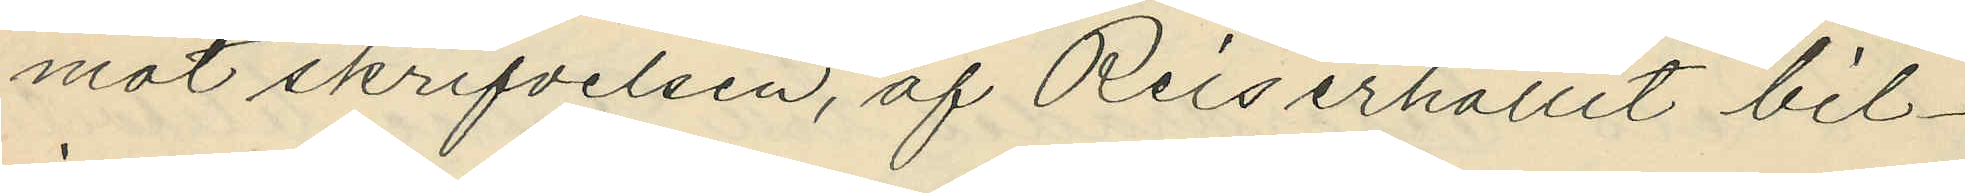mot skrifvelsen, af Reis erhållit bil¬
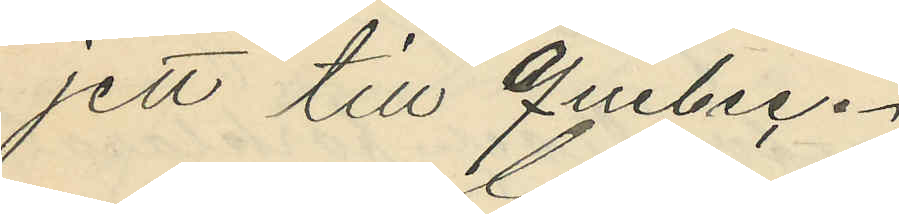jett till Quebec.
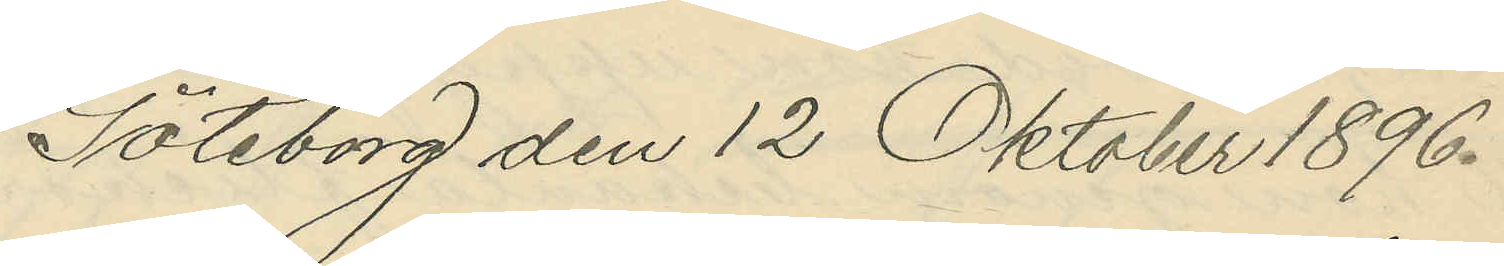Göteborg den 12 Oktober 1896.
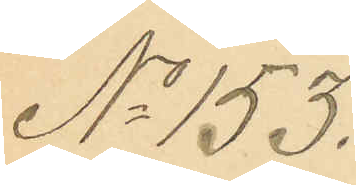No 153.
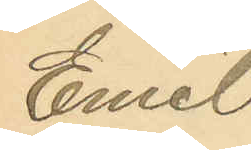Emil
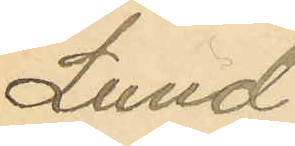Lund¬
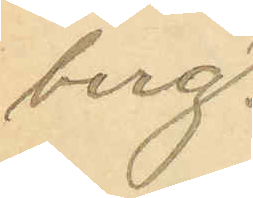berg.
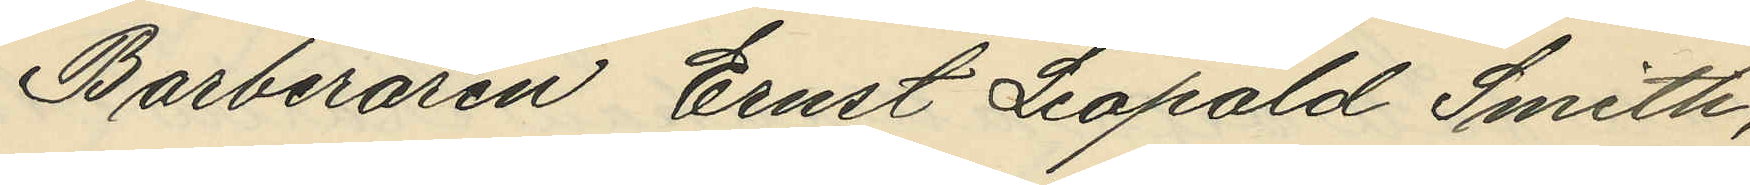Barberaren Ernst Leopold Smith,
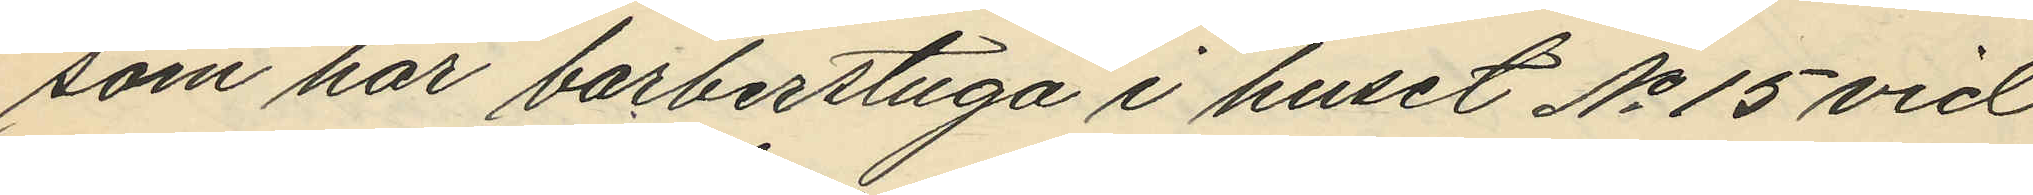som har barberstuga i huset No 15 vid
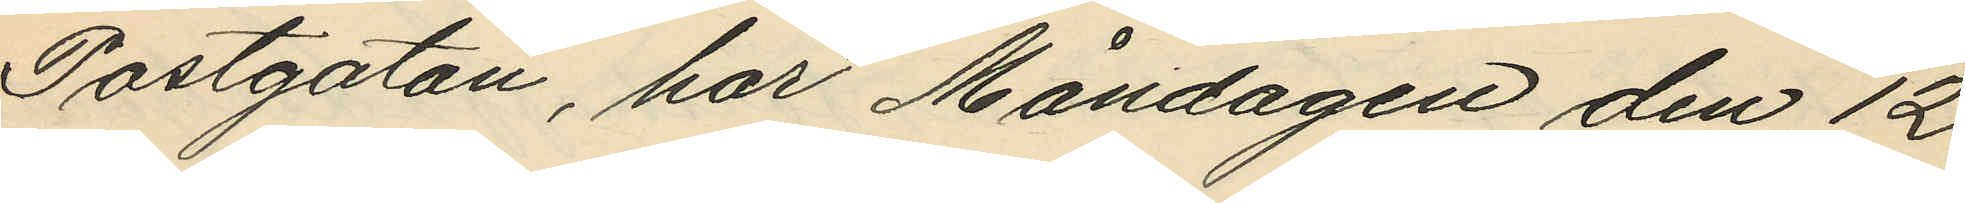Postgatan, har Måndagen den 12
